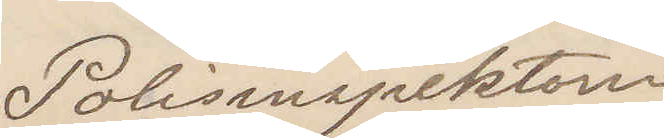Polisinspektorn
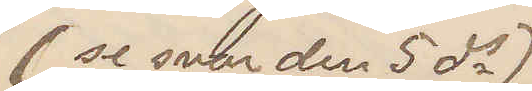se svar den 5 ds
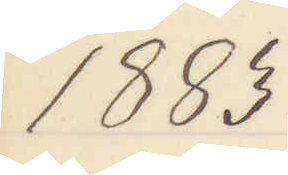1883
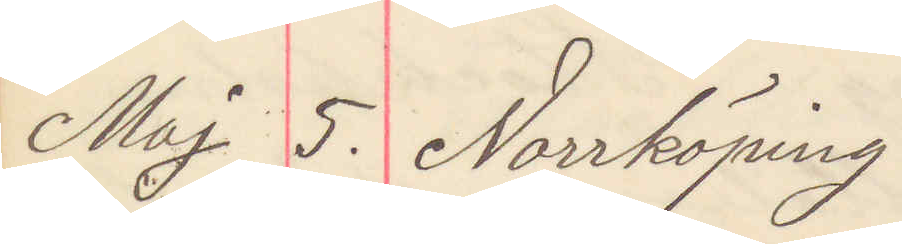Maj 5. Norrköping
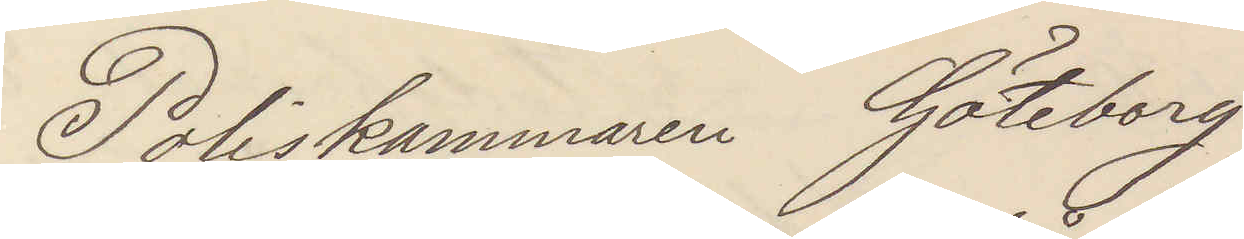Poliskammaren Göteborg
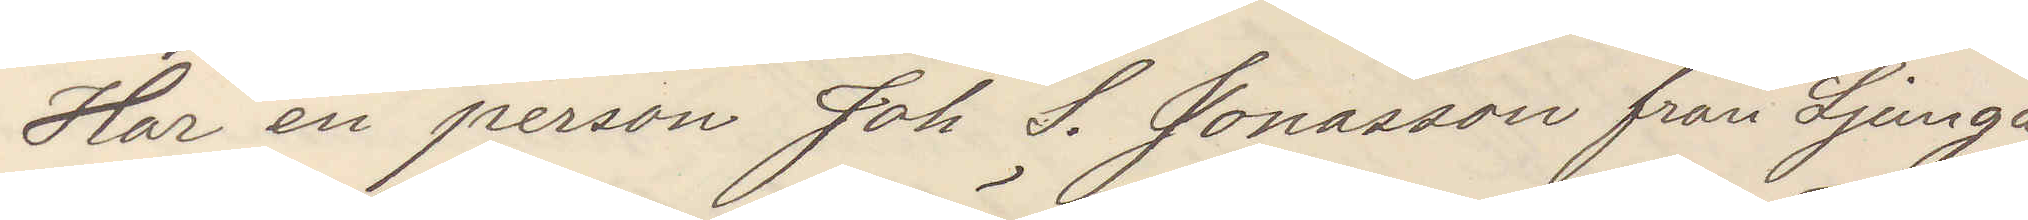Har en person Joh S. Jonasson från Ljunga
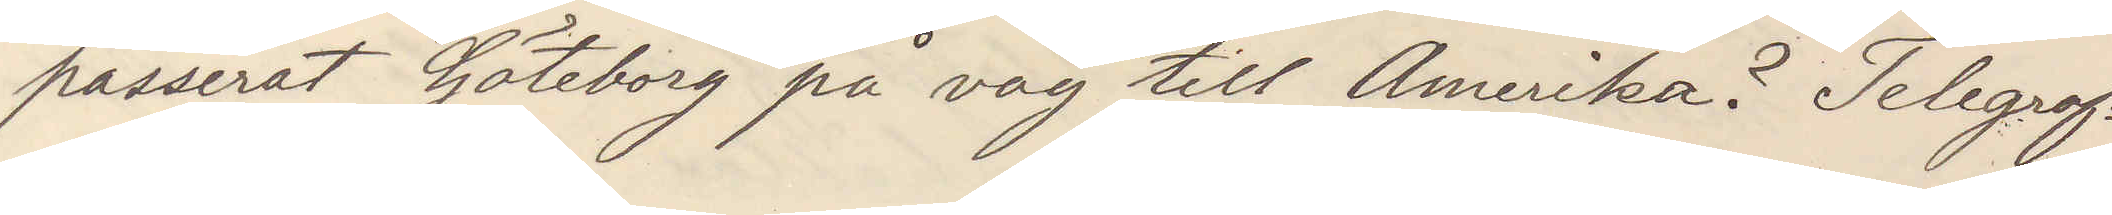passerat Göteborg på väg till Amerika? Telegraf¬
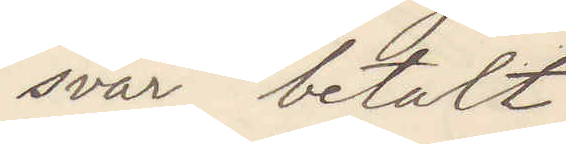svar betalt
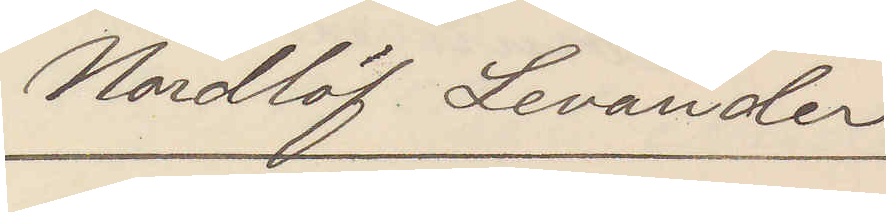Nordlöf Levander
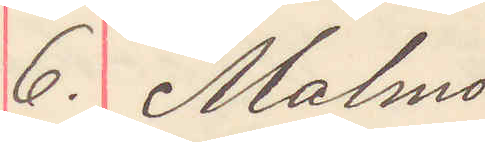6. Malmö
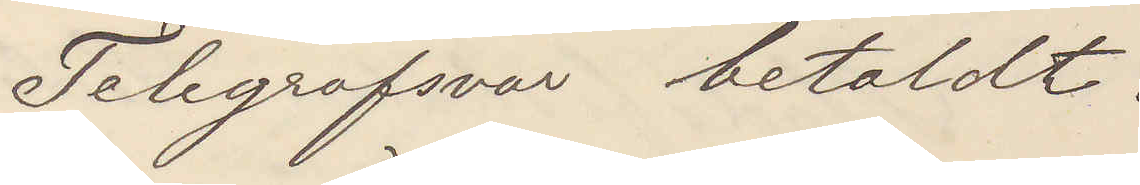Telegrafsvar betaldt.
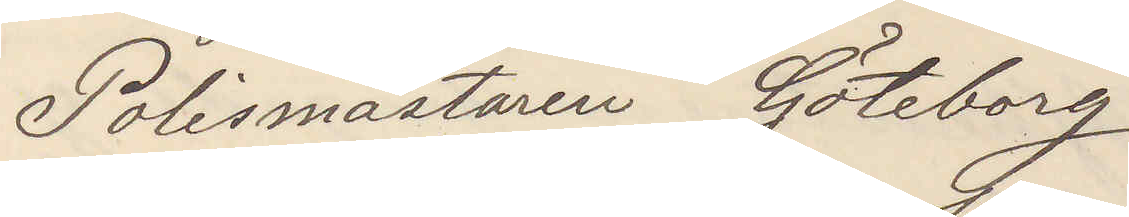Polismästaren Göteborg
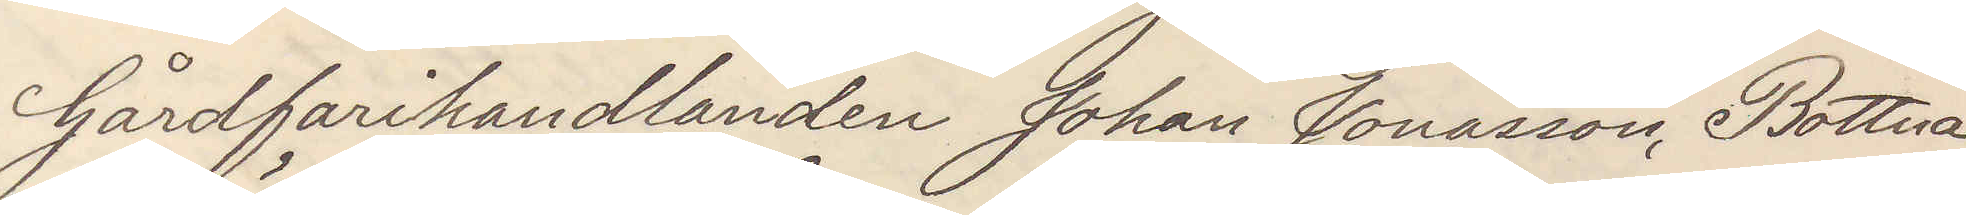Gårdfarihandlanden Johan Jonasson, Bottna
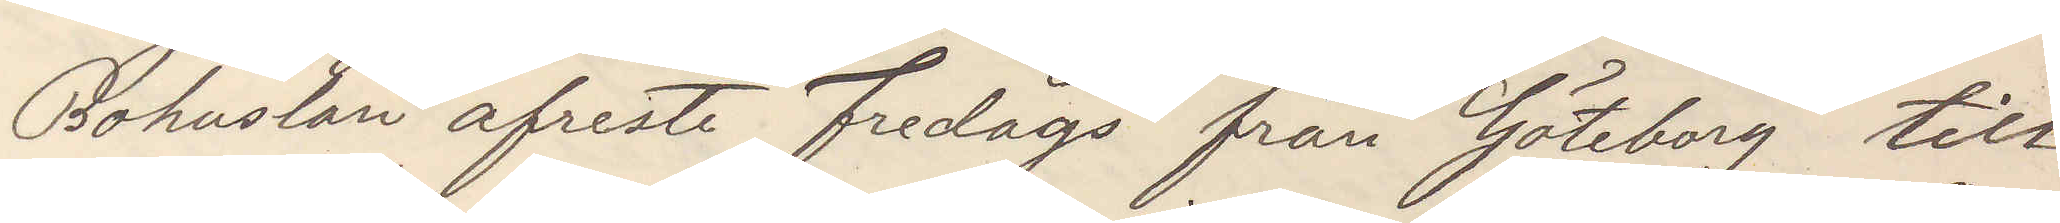Bohuslän afreste  fredags för Göteborg till
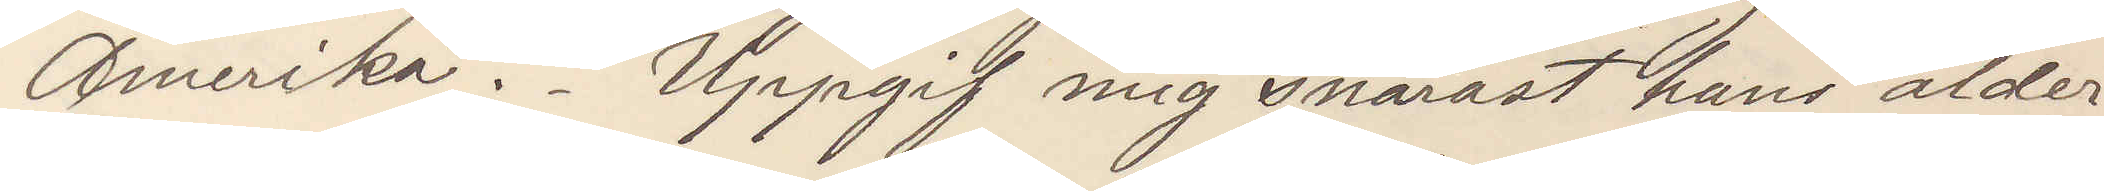Amerika. Uppgif mig snarast hans ålder
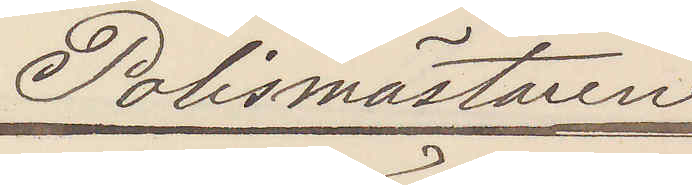Polismästaren
